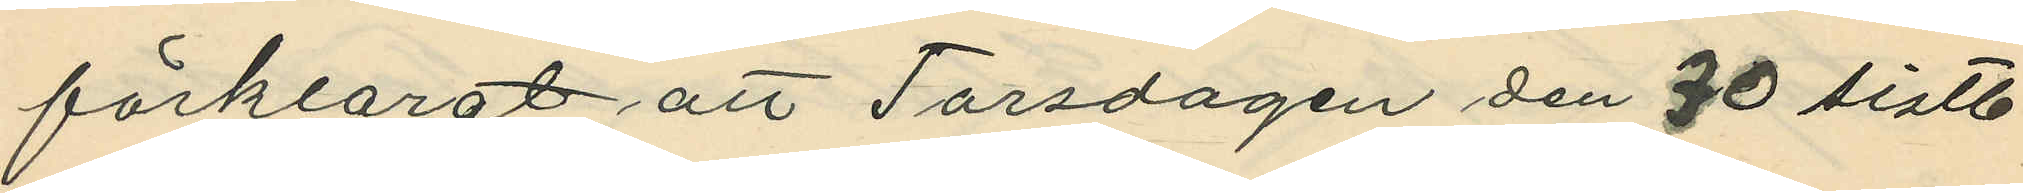förklarat att Torsdagen den 30 sistl.
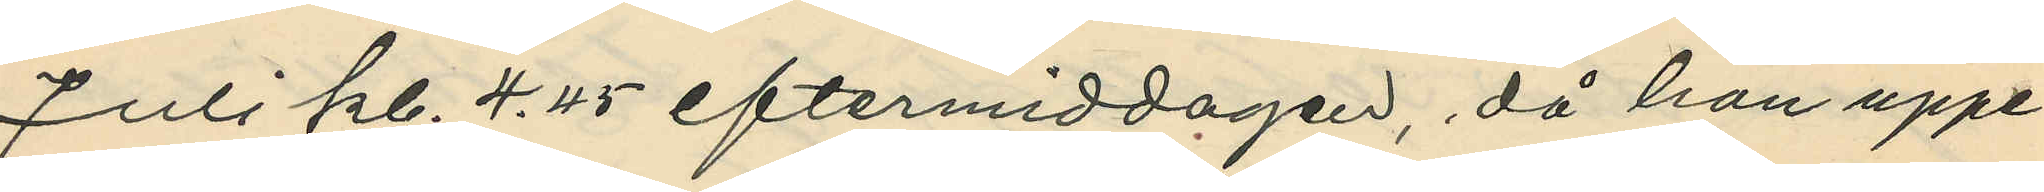Juli kl. 4.45 eftermiddagen, då han uppe¬
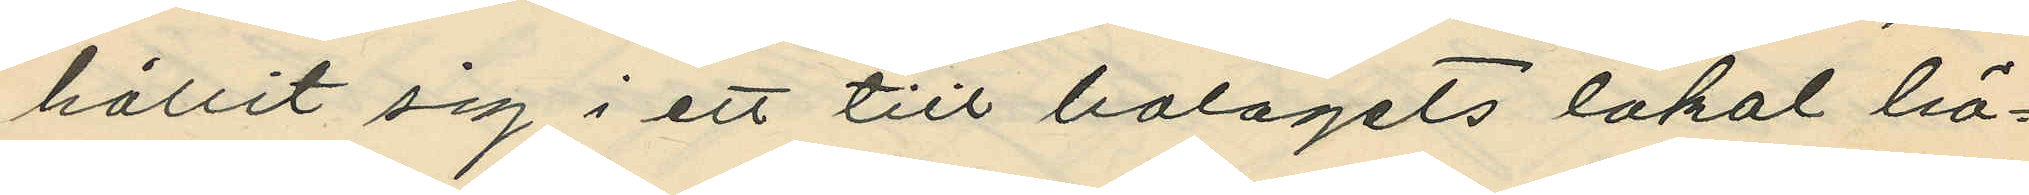hållit sig i ett till bolagets lokal hö¬
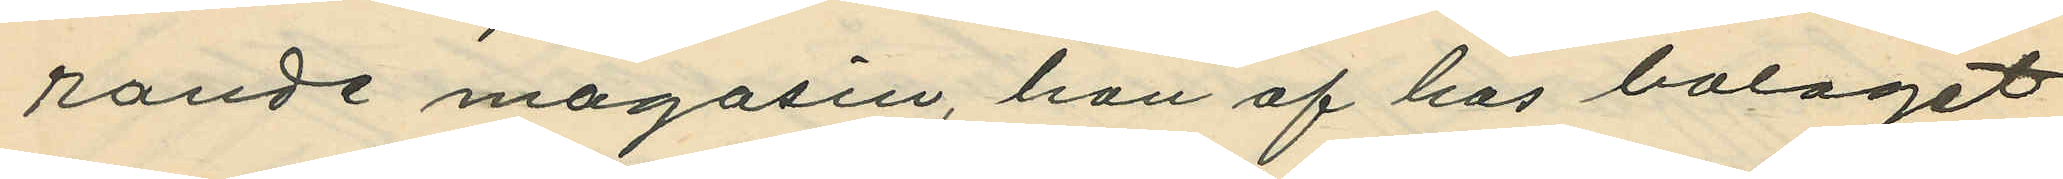rande magasin, han af hos bolaget
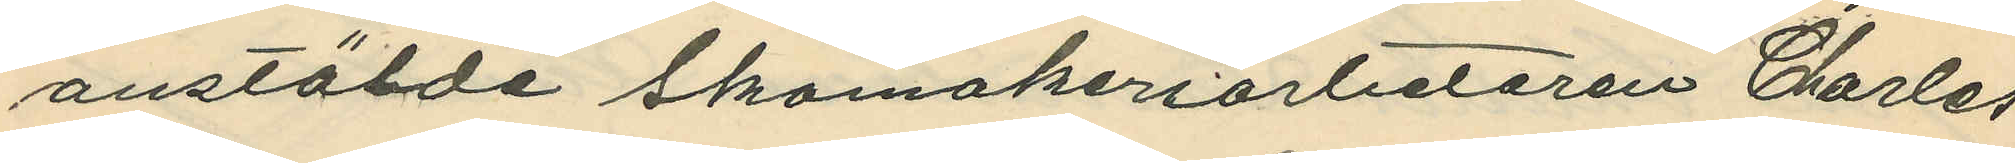anstälde skomakeriarbetaren Charles
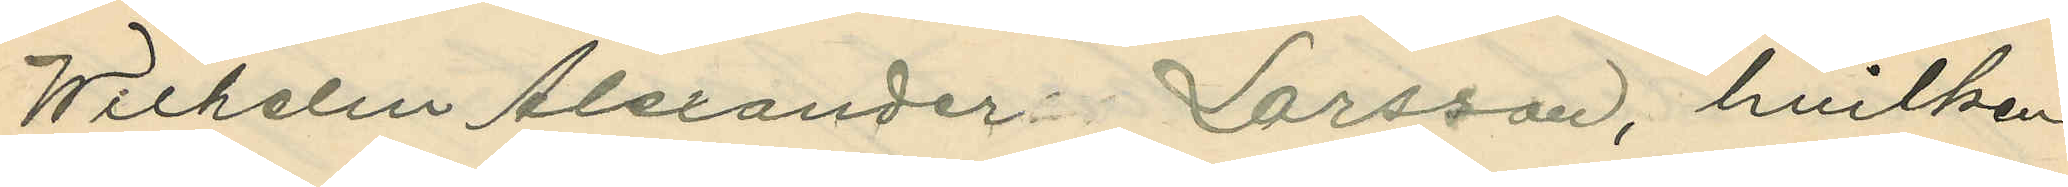Wilhelm Alexander Larsson, hvilken
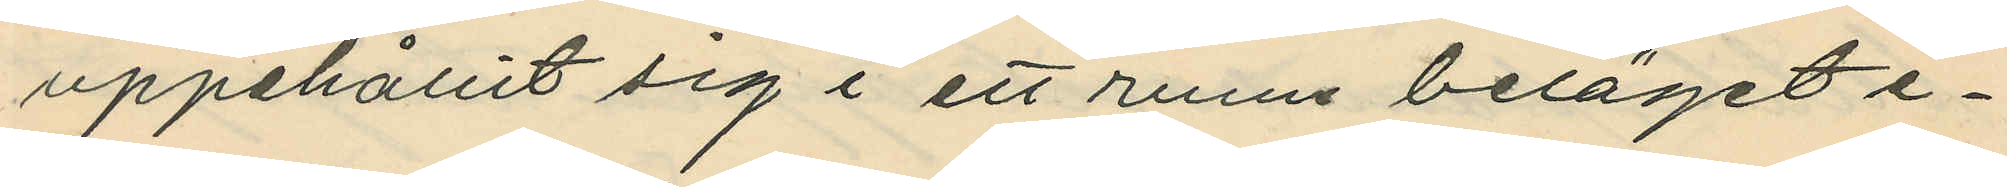uppehållit sig i ett rum beläget e¬
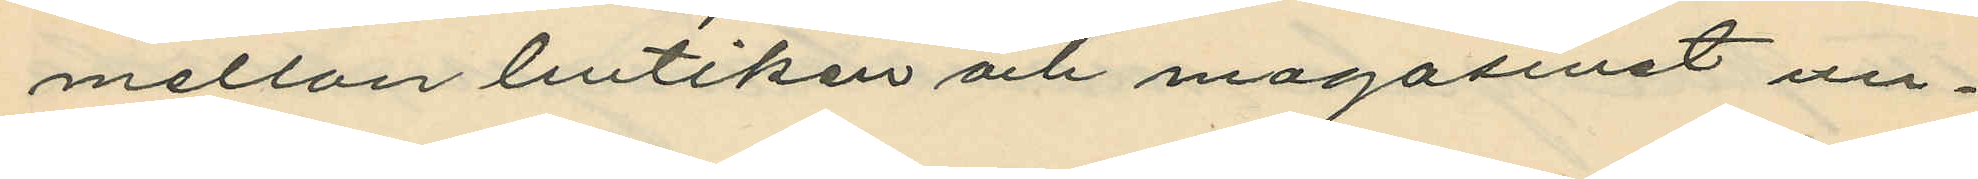mellan butiken och magasinet un¬
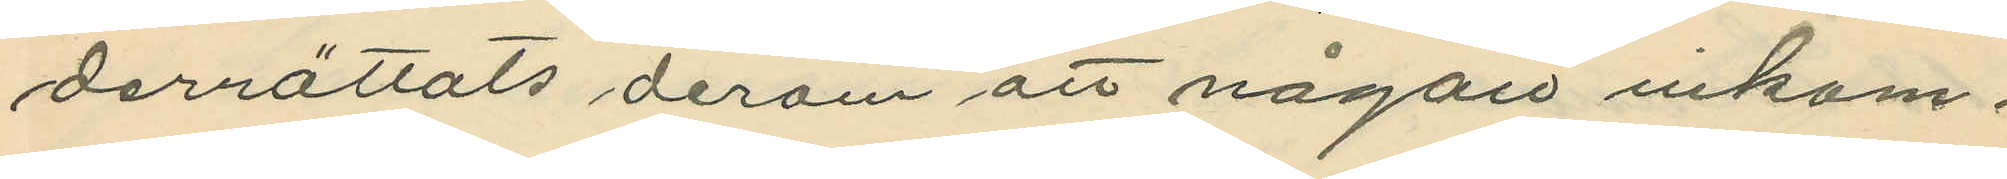derrättats derom att någon inkom¬
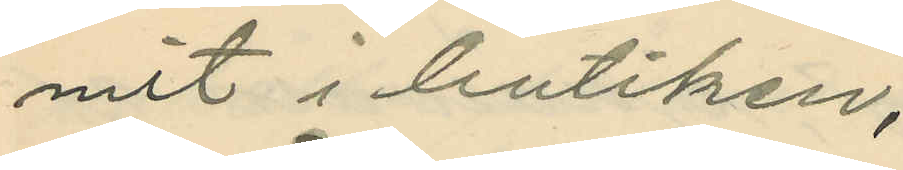mit i butiken;
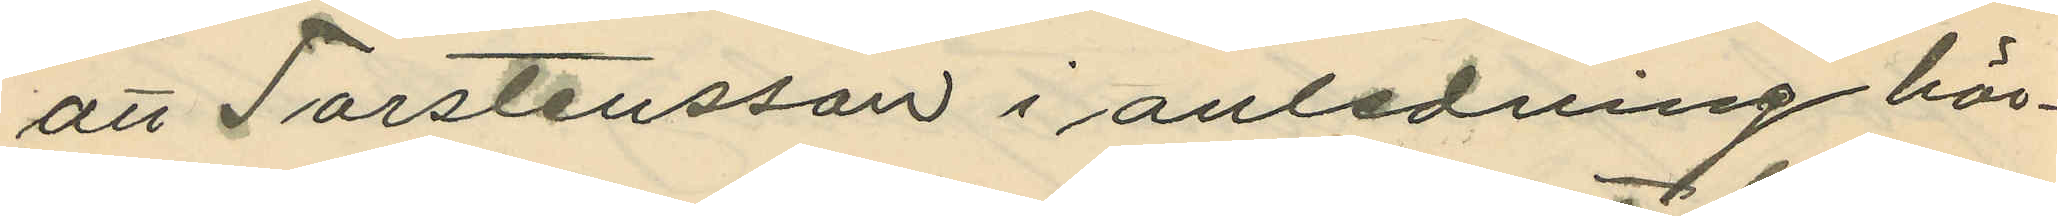att Torstensson i anledning här¬
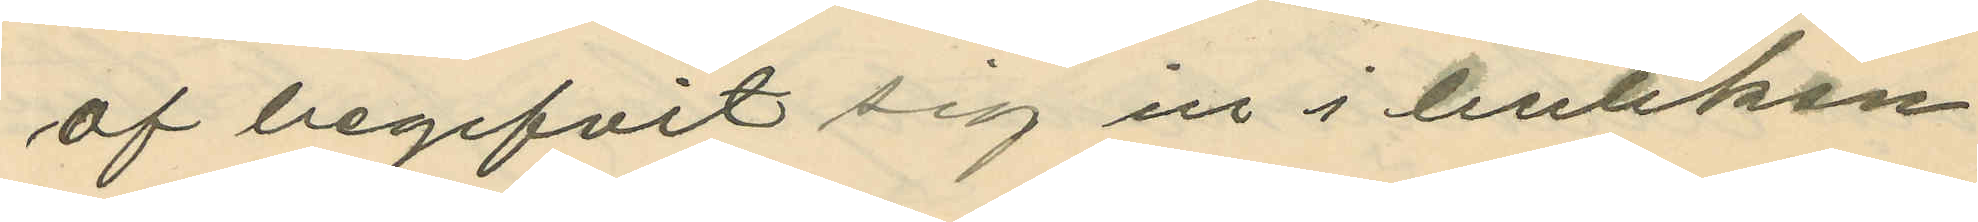af begifvit sig in i butiken
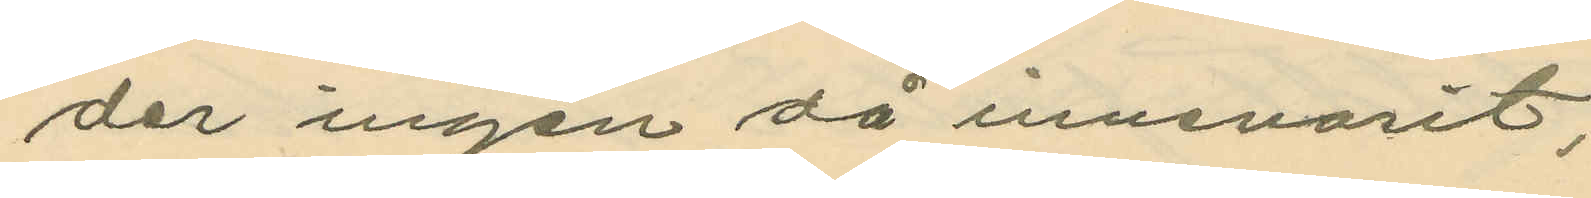der ingen då innevarit;
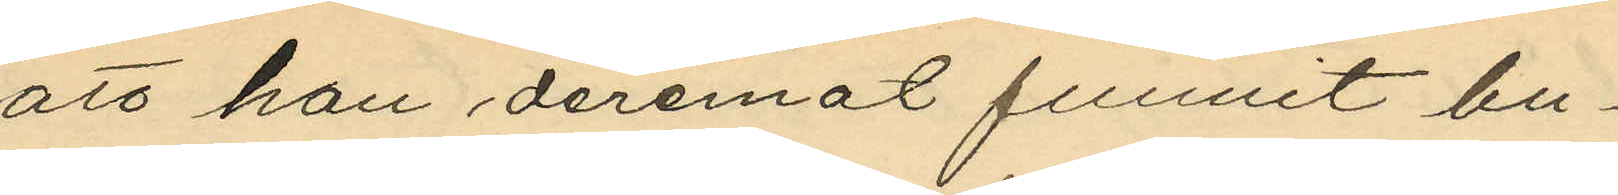att han deremot funnit bu¬
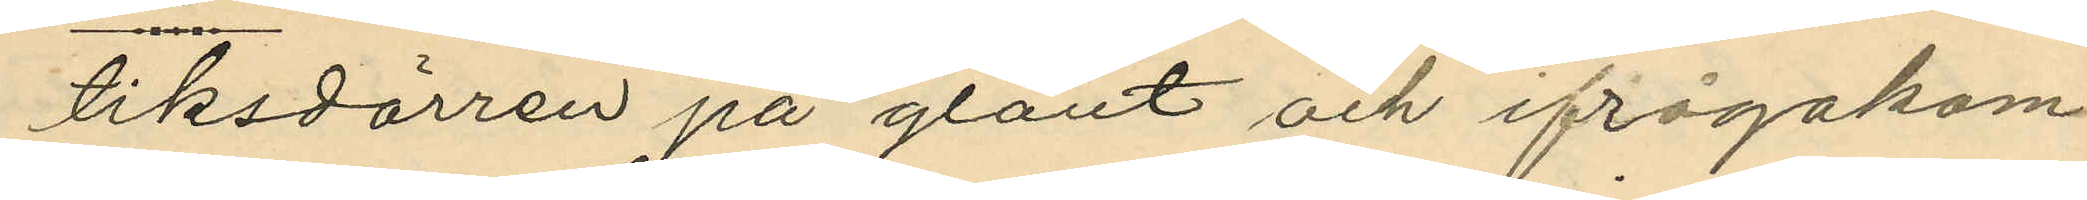tiksdörren på glänt och ifrågakom¬
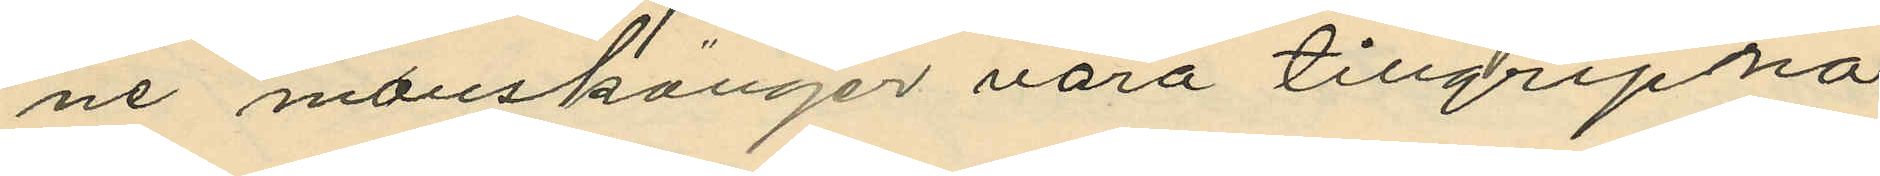ne manskänger vara tillgripna.
